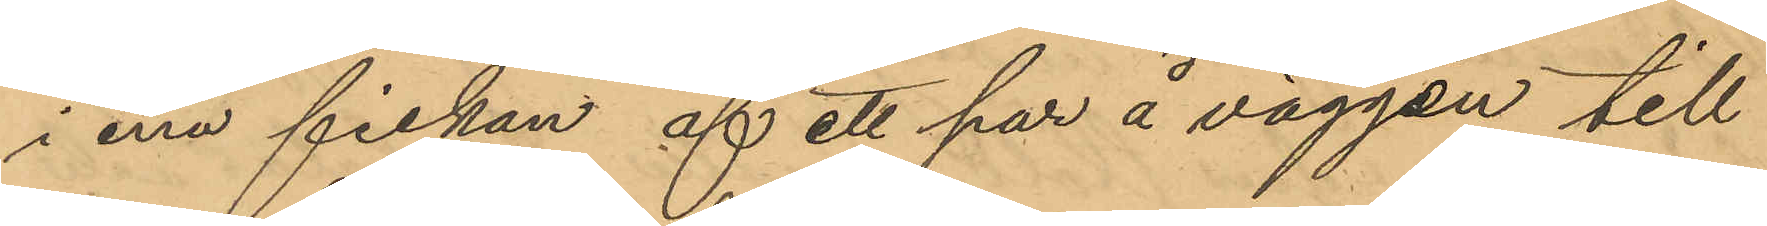i ena fickan af ett par å väggen till
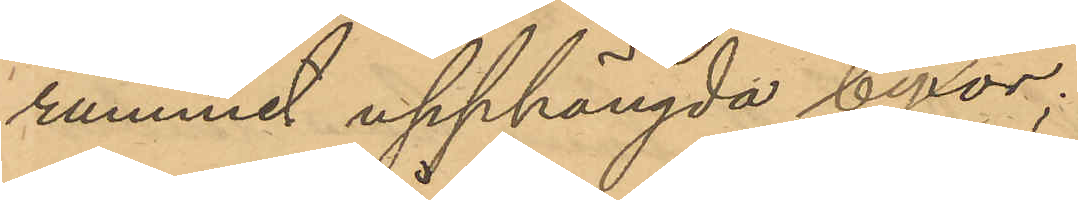rummet upphängda byxor;
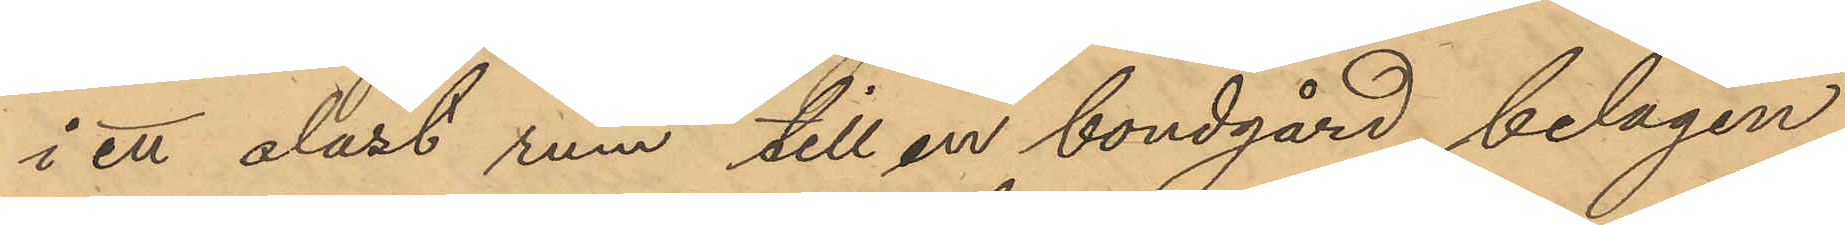i ett olåst rum till en bondgård belägen
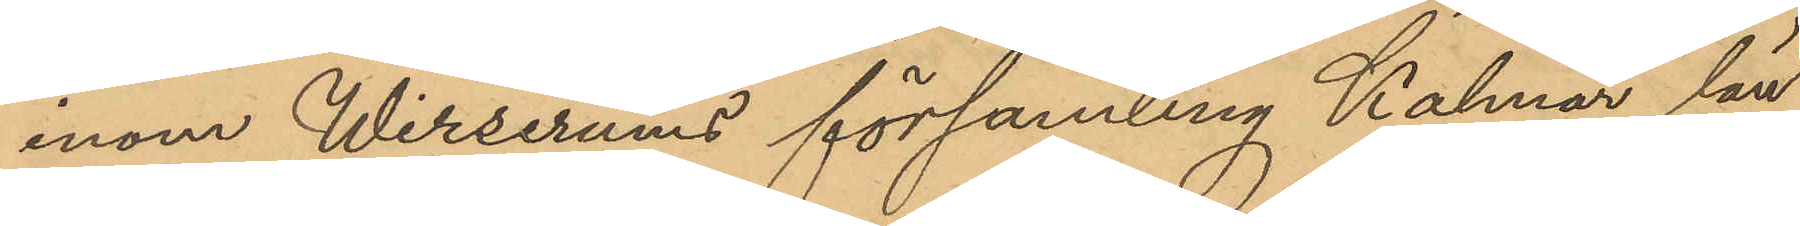inom Wirserums församling Kalmar län
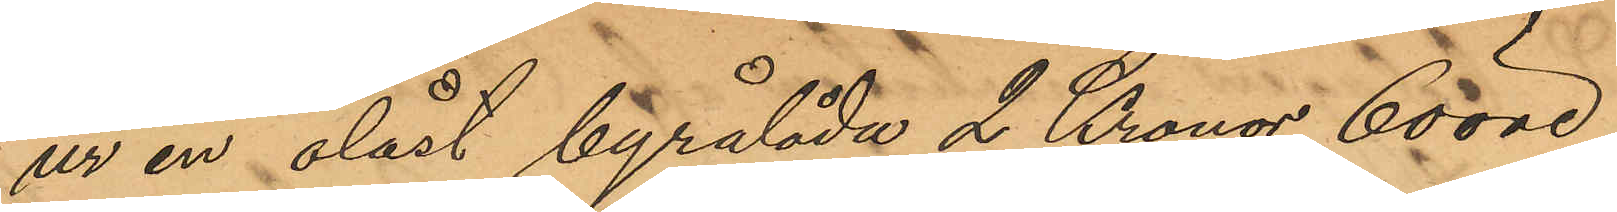ur en olåst byrålåda 2 Kronor 60 öre,
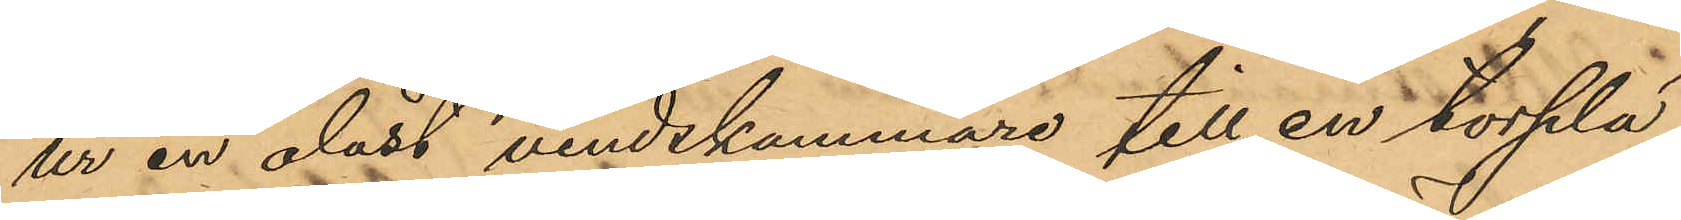ur en olåst vindskammare till en torplä¬
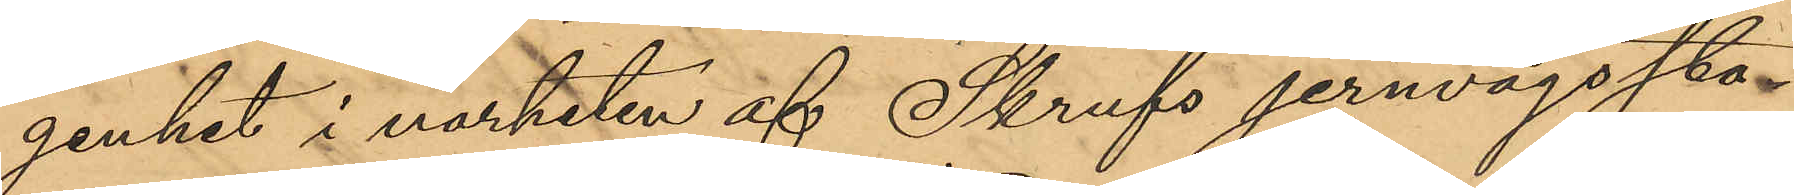genhet i närheten af Skrufs jernvägssta¬
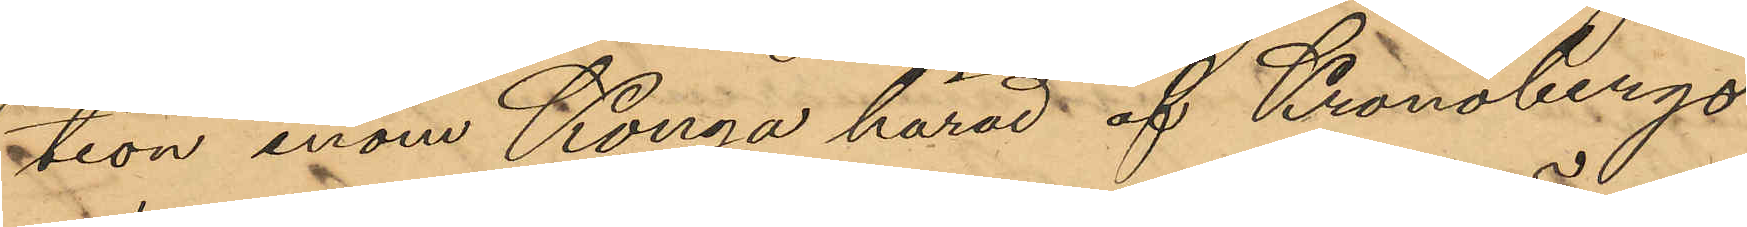tion inom Konga härad af Kronobergs
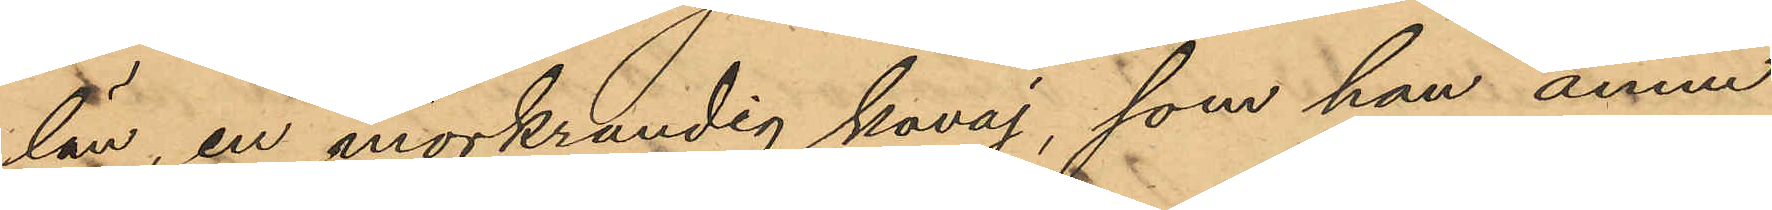län, en mörkrandig kavaj, som han ännu
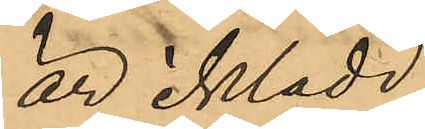är iklädd,
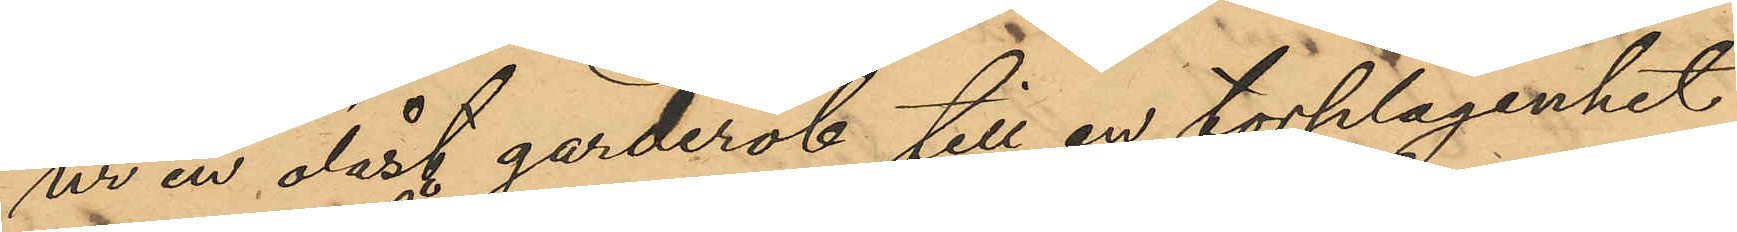ur en olåst garderob till en torplägenhet
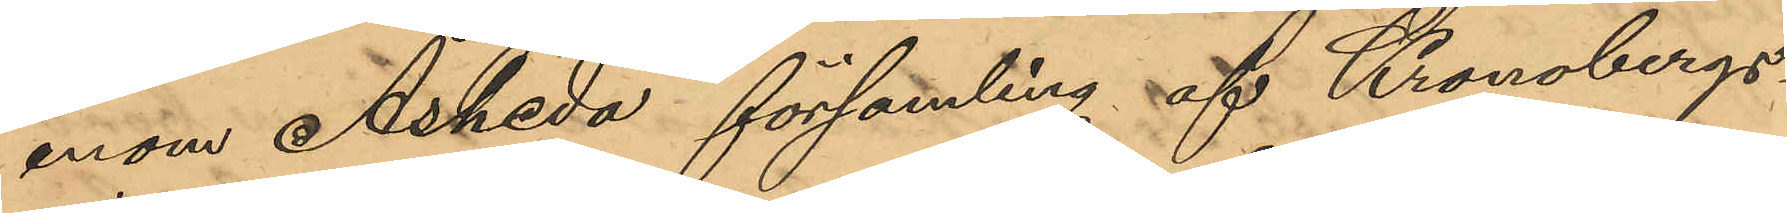inom Åsheda församling af Kronobergs
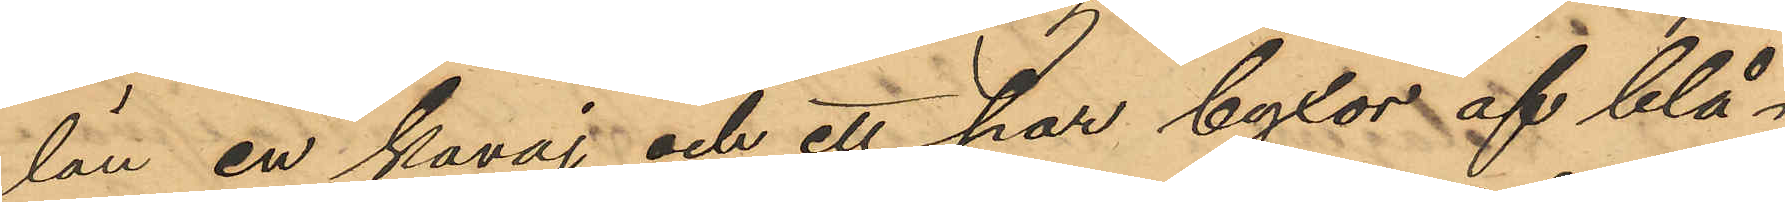län en kavaj och ett par byxor af blå¬
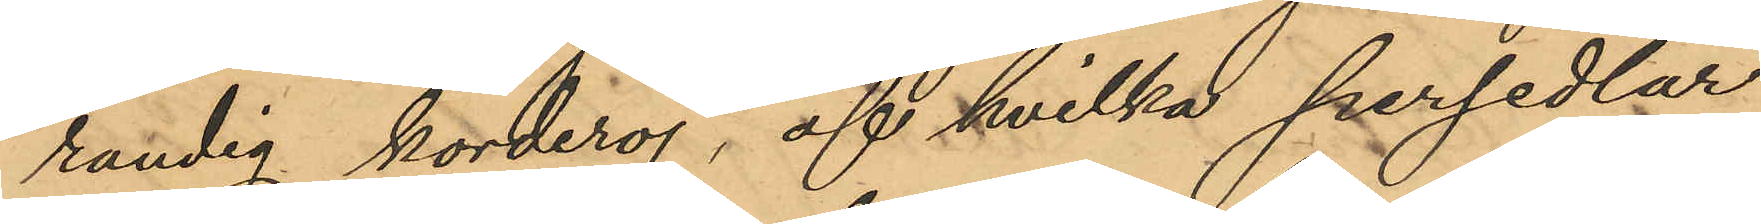randig korderoj, af hvilka persedlar
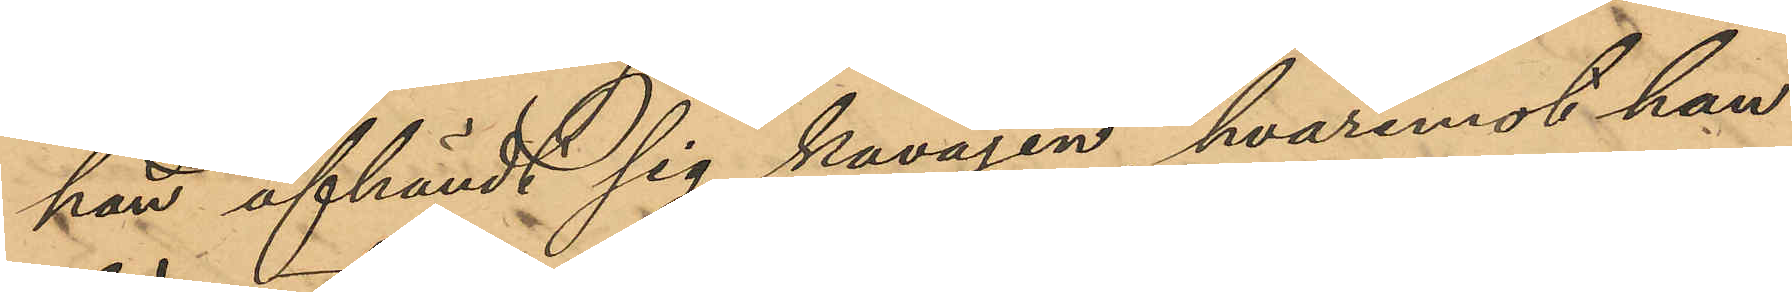kan afhändt sig kavajen, hvaremot han
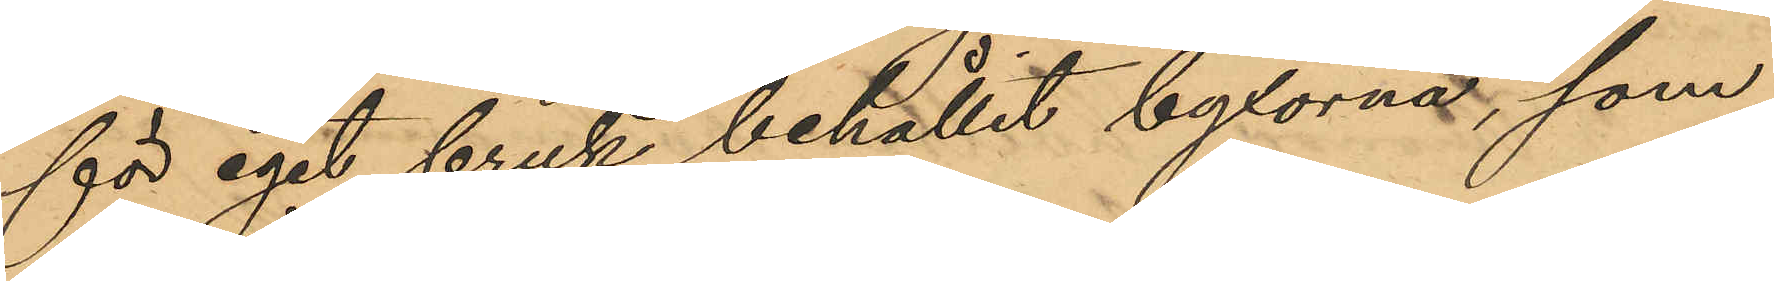för eget bruk behållit byxorna, som
